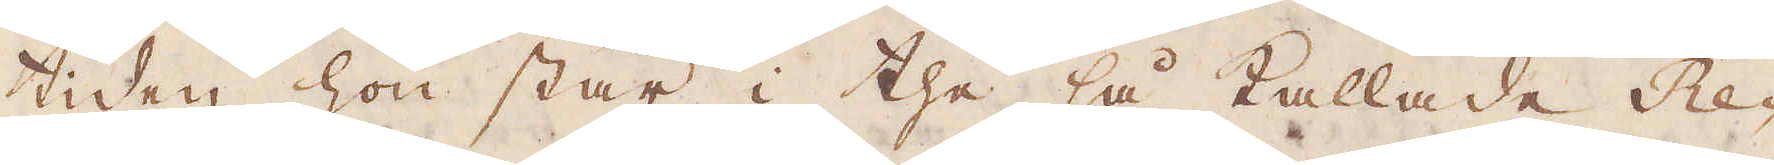tiden hon står i the så kallade Re-
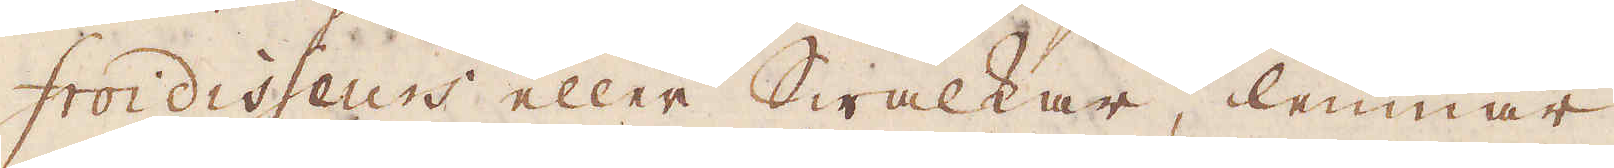froidisseurs eller Swalkar lemnar
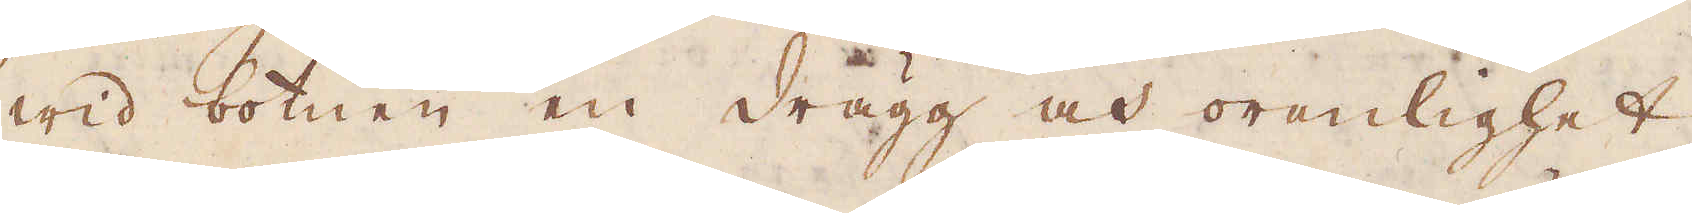wid botnen en drägg och orenlighet,
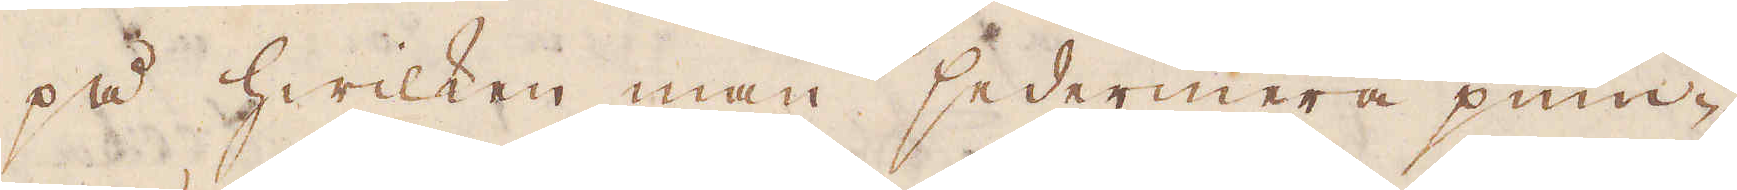på hwilken man sedermera pum-
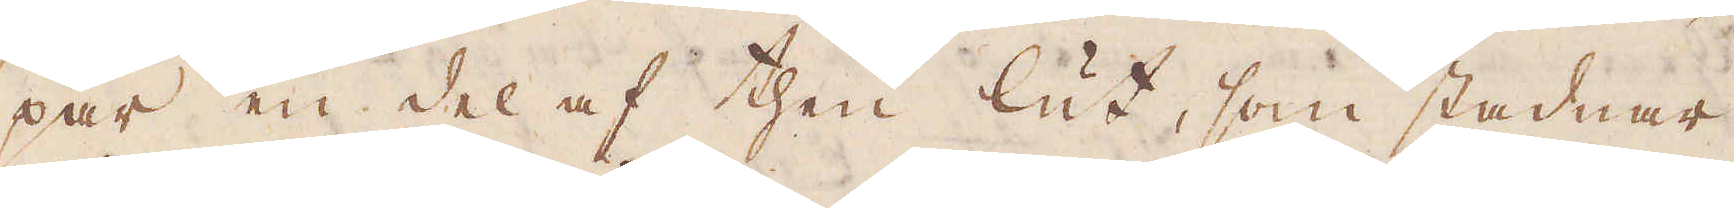par en del af then lut, som stadnar
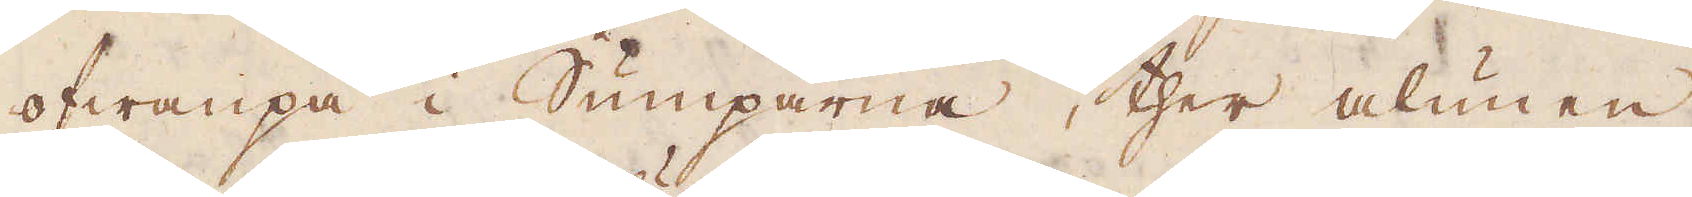ofwanpå i Sumparna, ther alunen
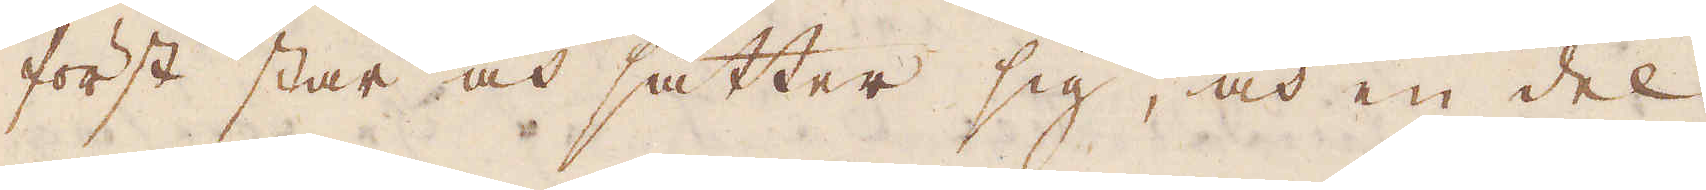först står och sätter sig, och en del
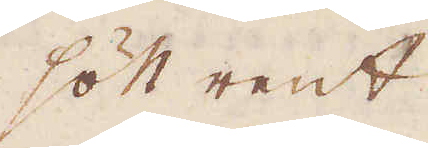sött rent
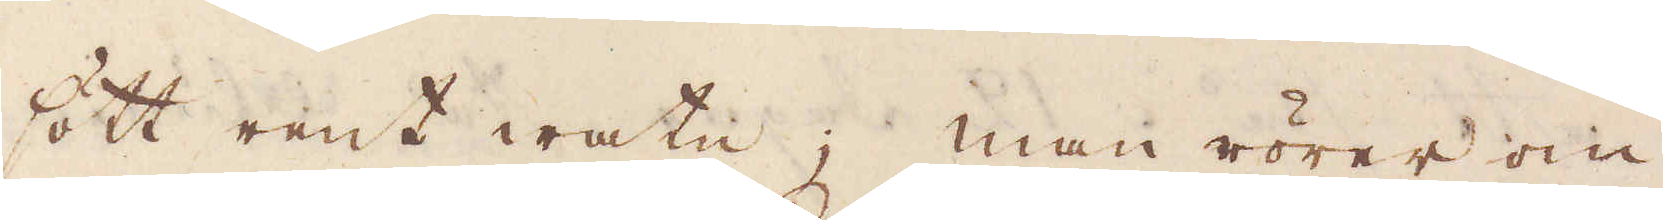sött rent watn; man rörer om
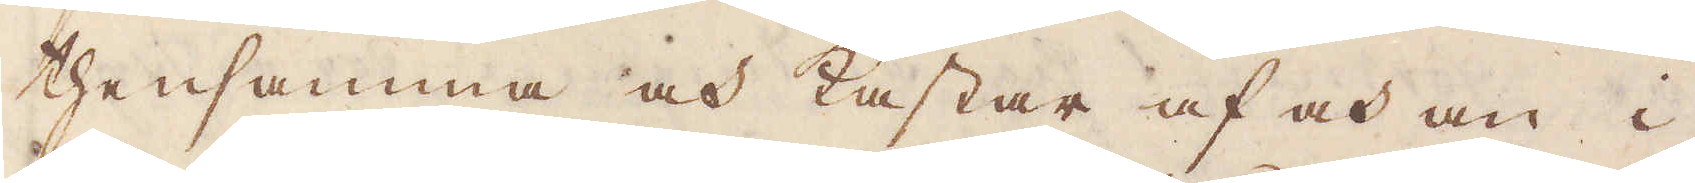thensamma och kastar af och an i
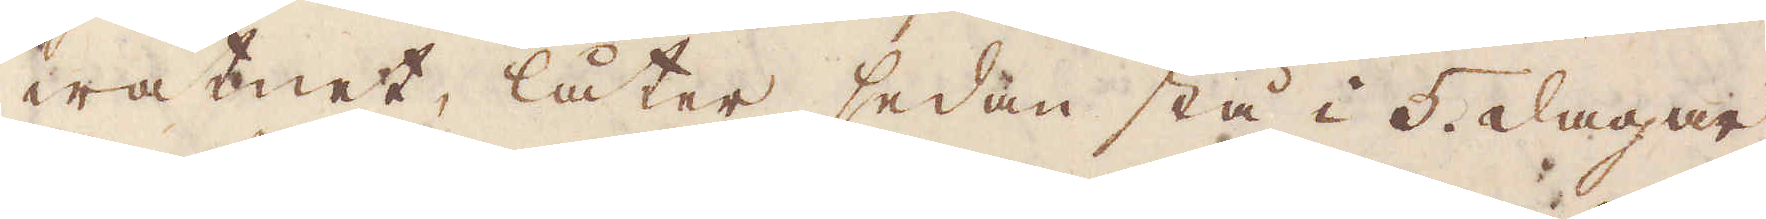watnet, låter sedan stå i 5 dagar
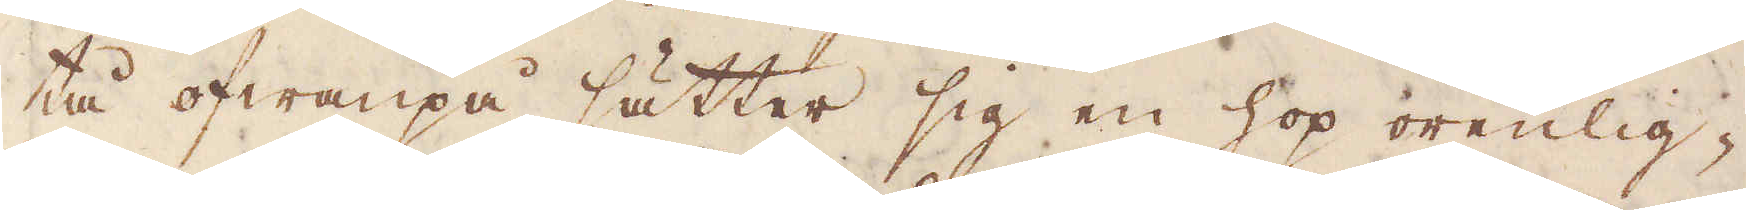tå ofwanpå sätter sig en hop orenlig-
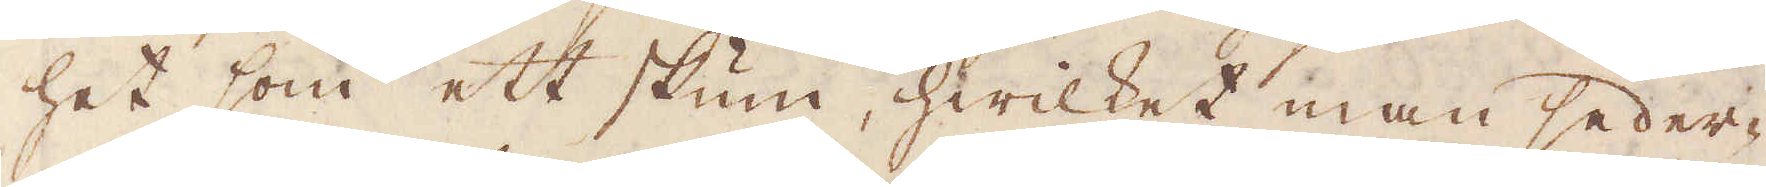het som ett skum, hwilket man seder-
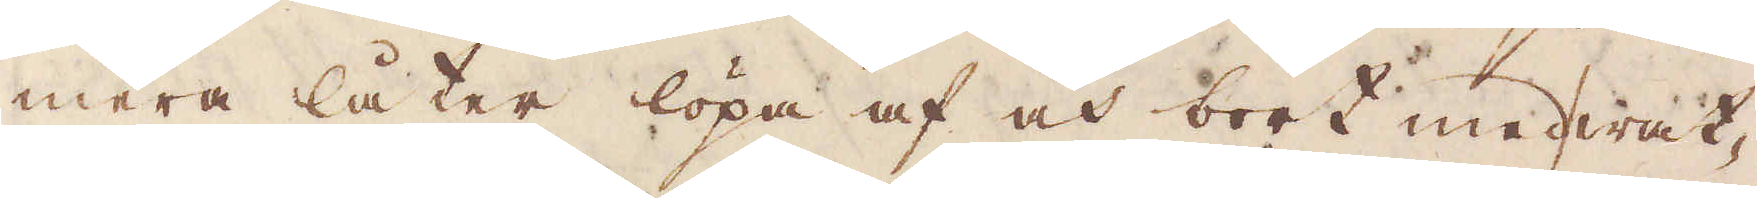mera låter löpa af och bort med wat-
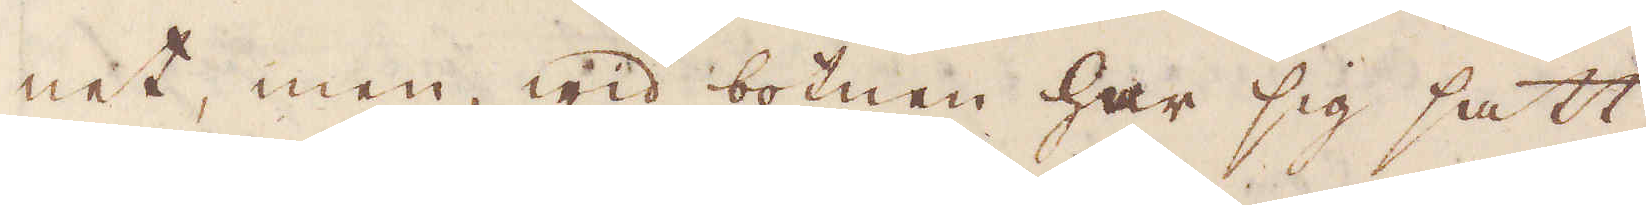net, men wid botnen har sig satt
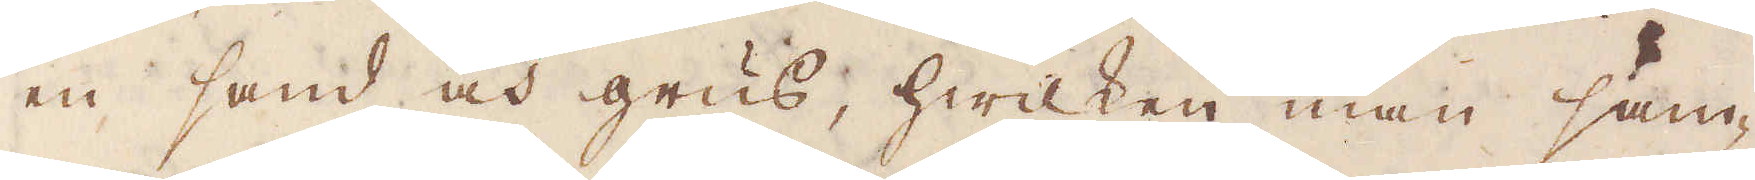en sand och grus, hwilken man sam-
